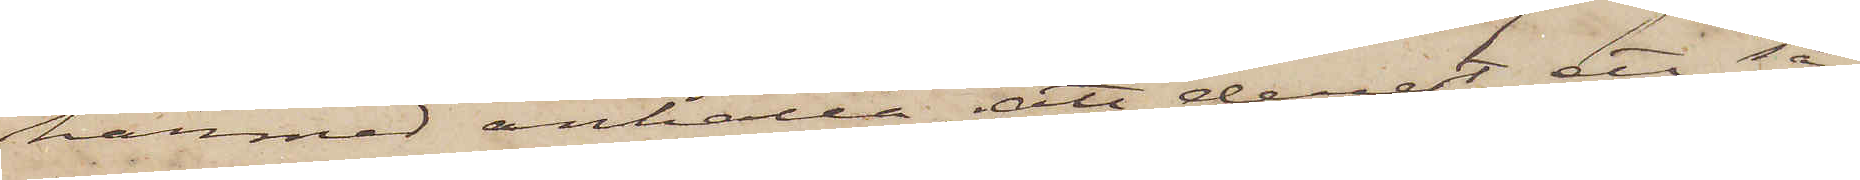härmed anhålla, att derest ett så¬
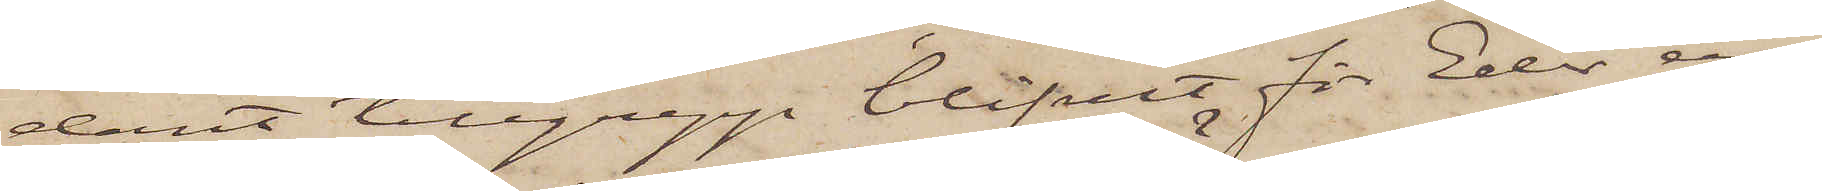dant tillgrepp blifvit för Eder an¬
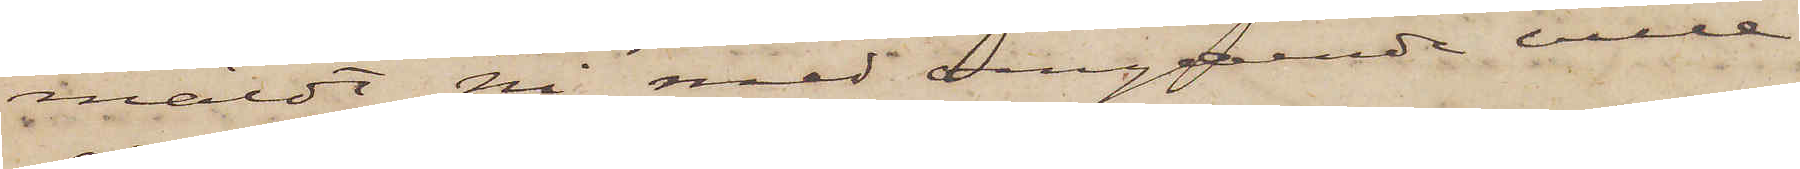mäldt, Ni med omgående ville
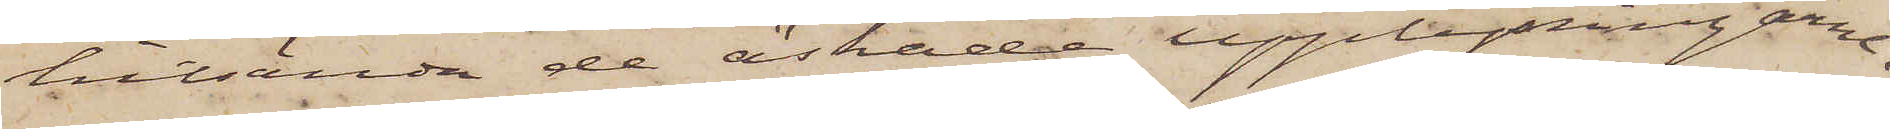hitsända de äskade upplysningarne.
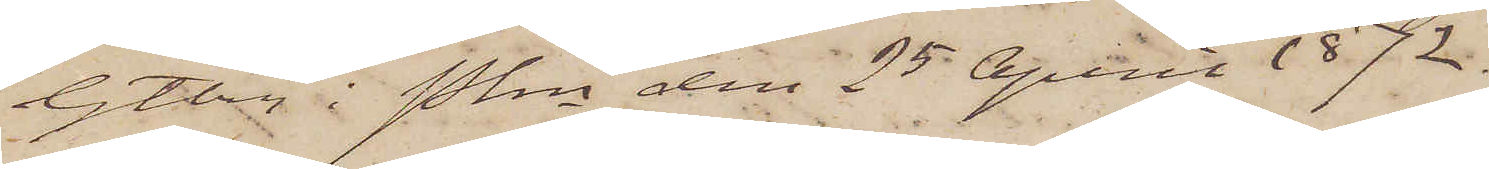Gtbrg i Pkn den 25 April 1872.
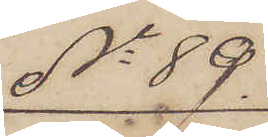No 89
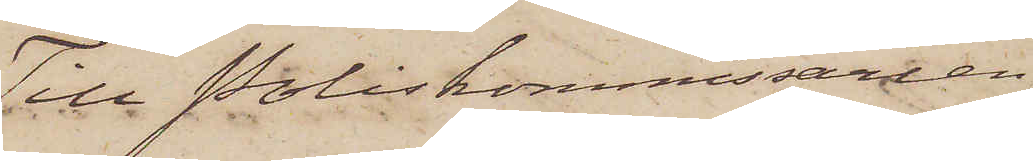Till Poliskommissarien
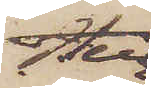Herr
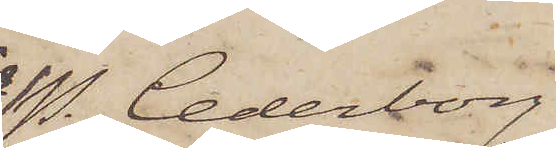P. Cederborg
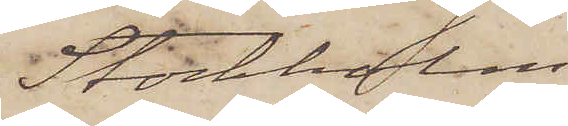Stockholm
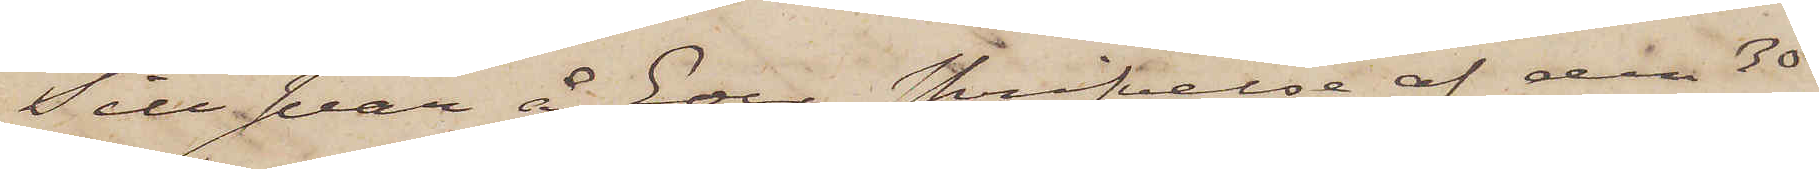Till svar å Eder skrifvelse af den 30
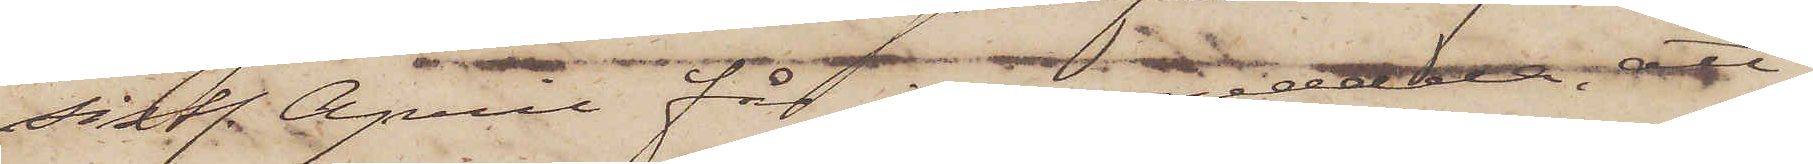sistl. April fär jag meddela, att,
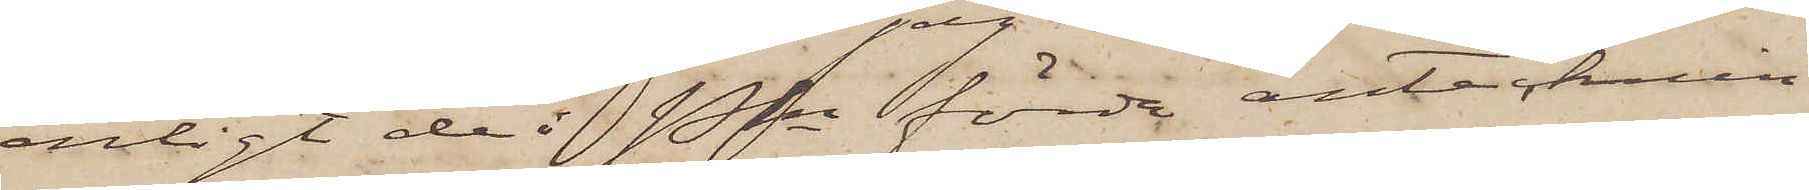enligt de i Pkn förda antecknin¬
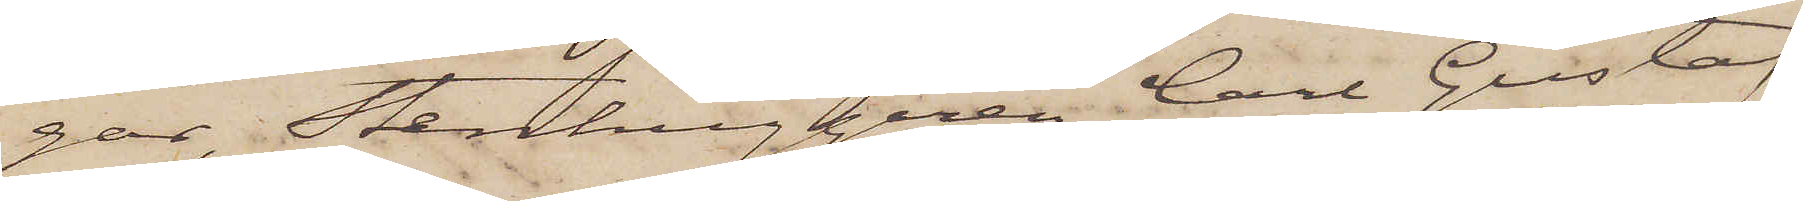gar, Stenhuggaren Carl Gustaf
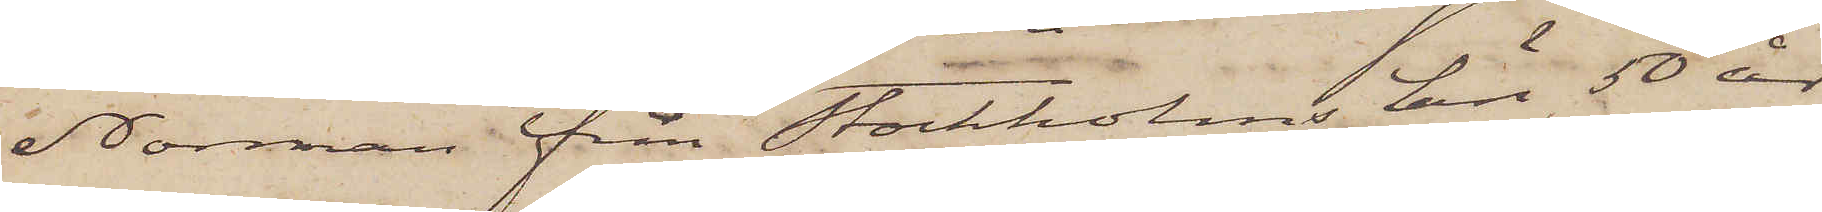Norman från Stockholms Län, 50 år
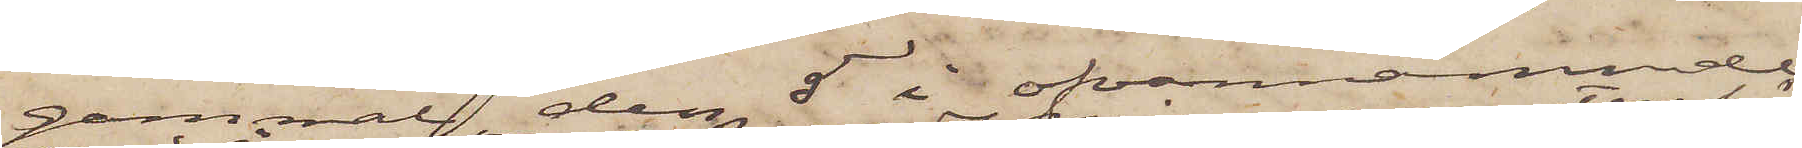gammal den 5 i ofvannämnde
